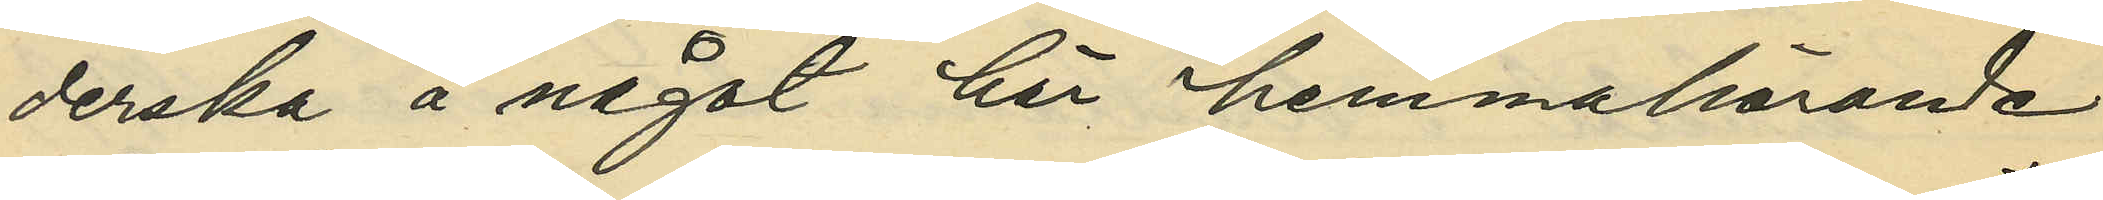derska å något här hemmahörande
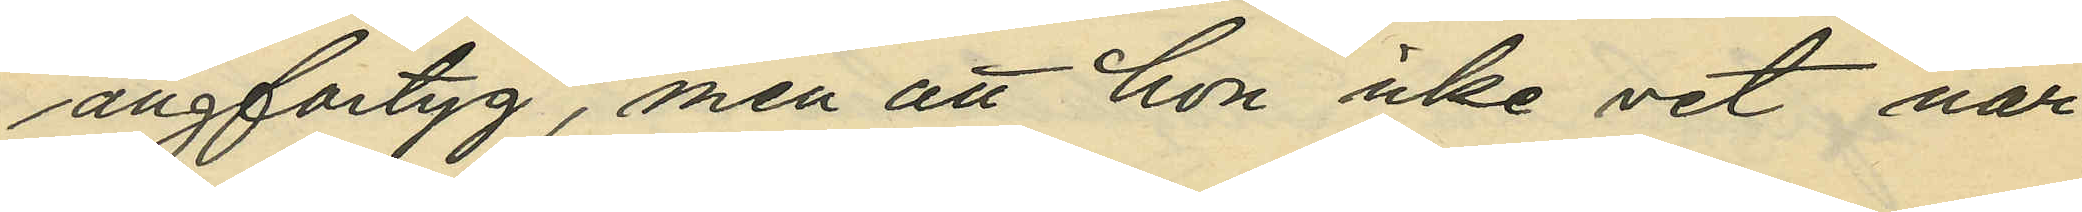ångfartyg, men att hon icke vet när 
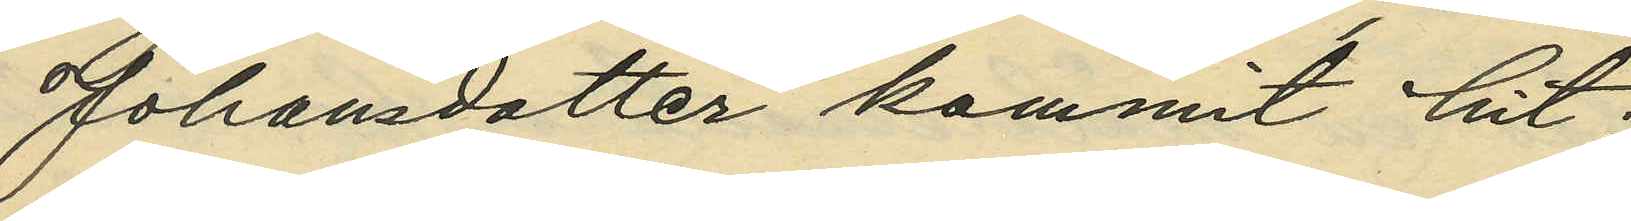Johansdotter kommit hit;
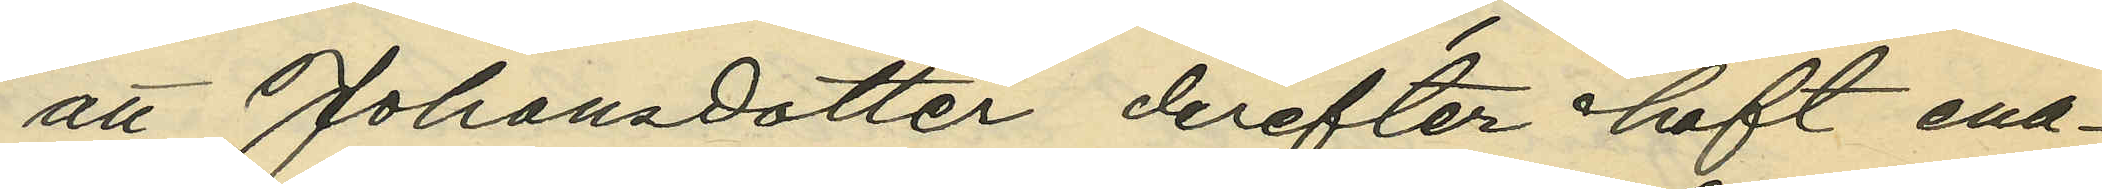att Johansdotter derefter haft ena¬
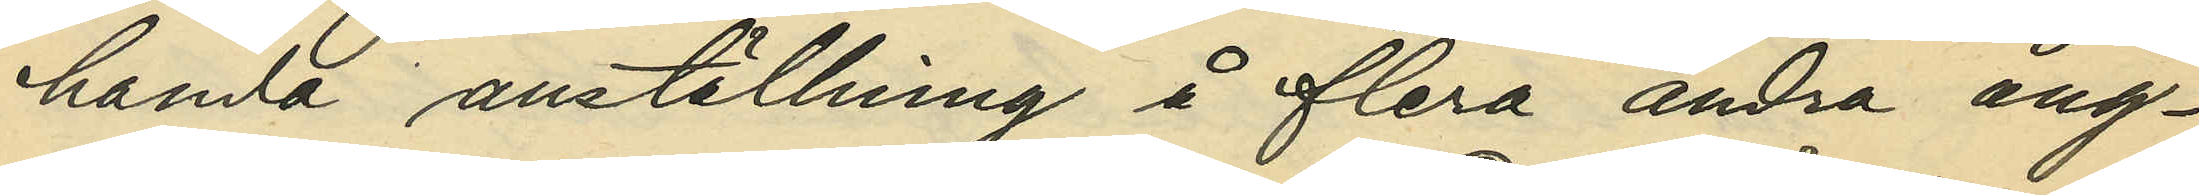handa anställning å flera andra ång¬
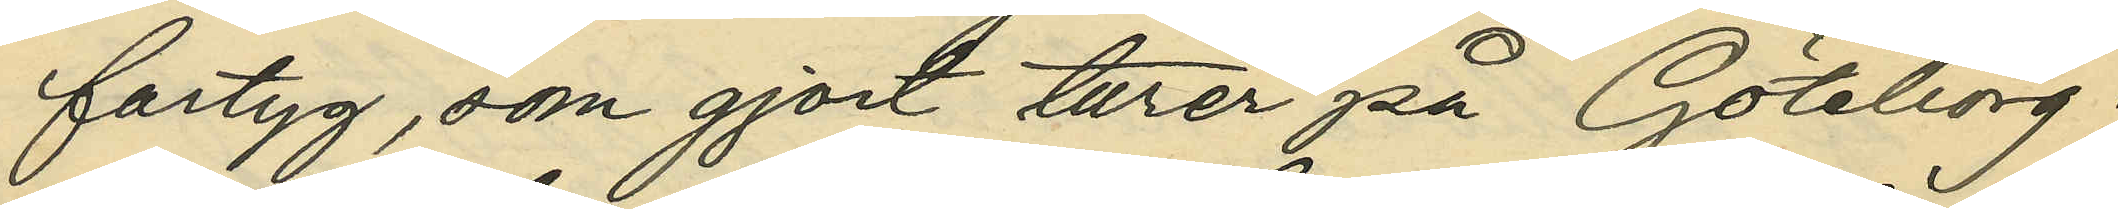fartyg, som gjort turer på Göteborg;
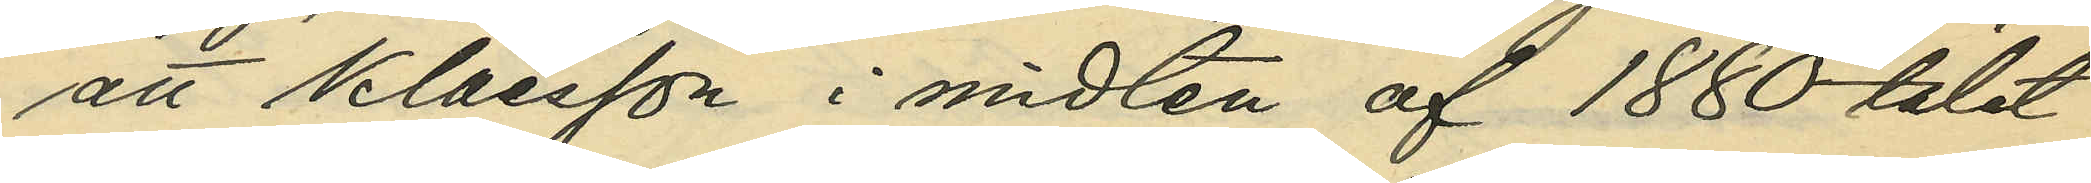att Klaesson i midten af 1880-talet
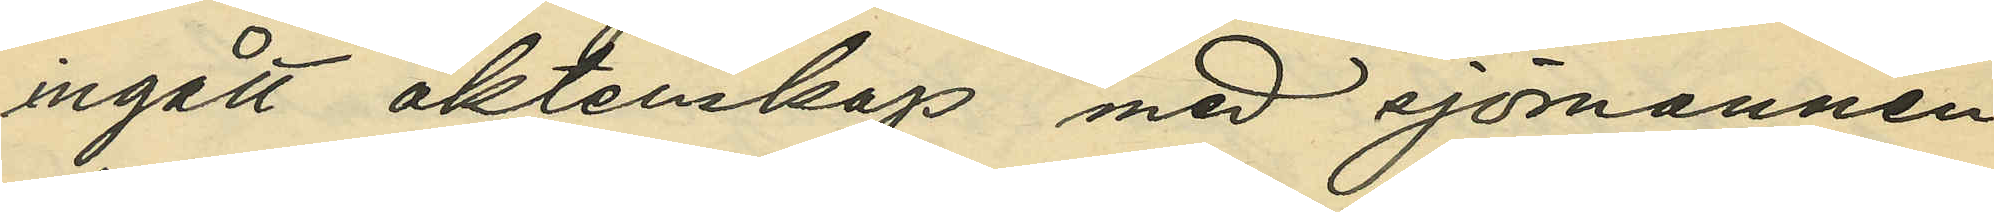ingått äktenskap med sjömannen
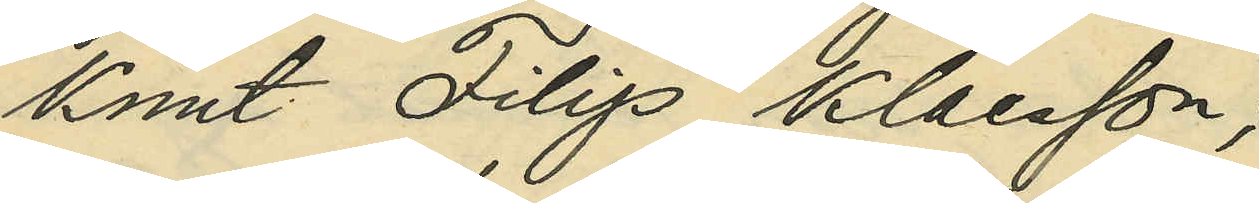Knut Filip Klaesson;
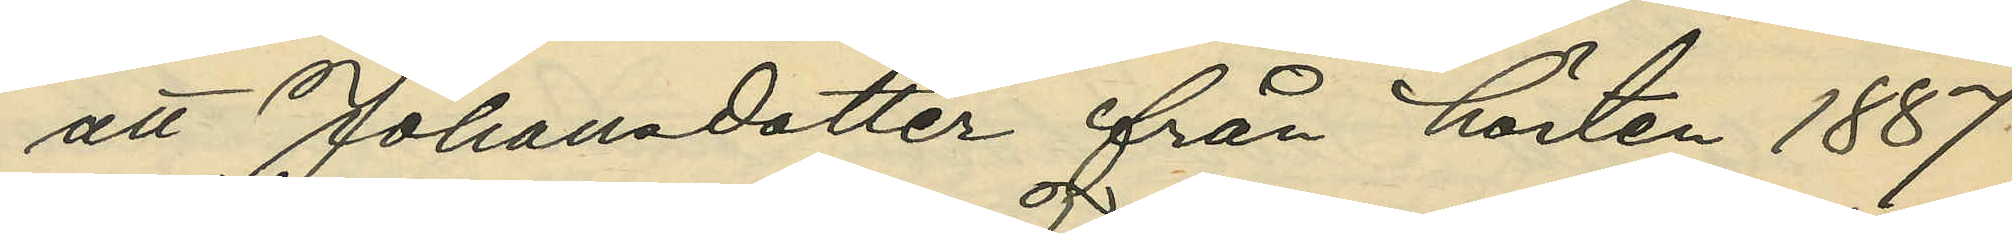att Johansdotter från hösten 1887
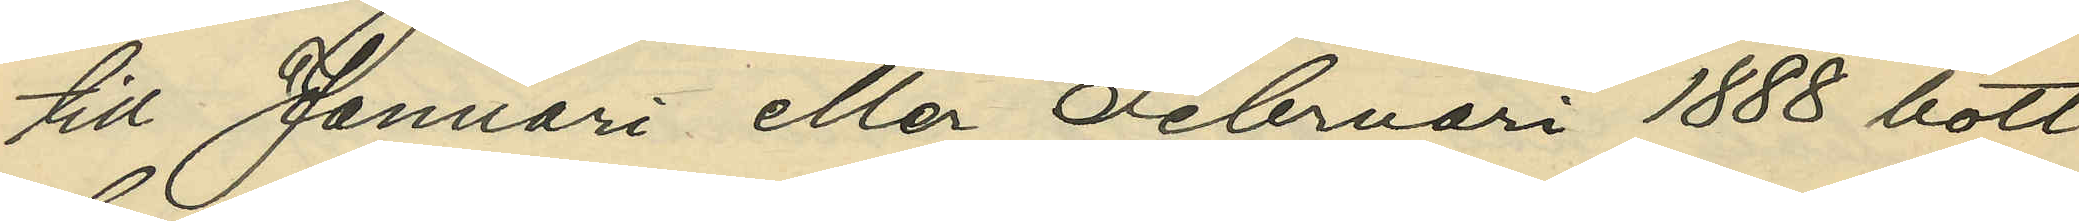till Januari eller Februari 1888 bott
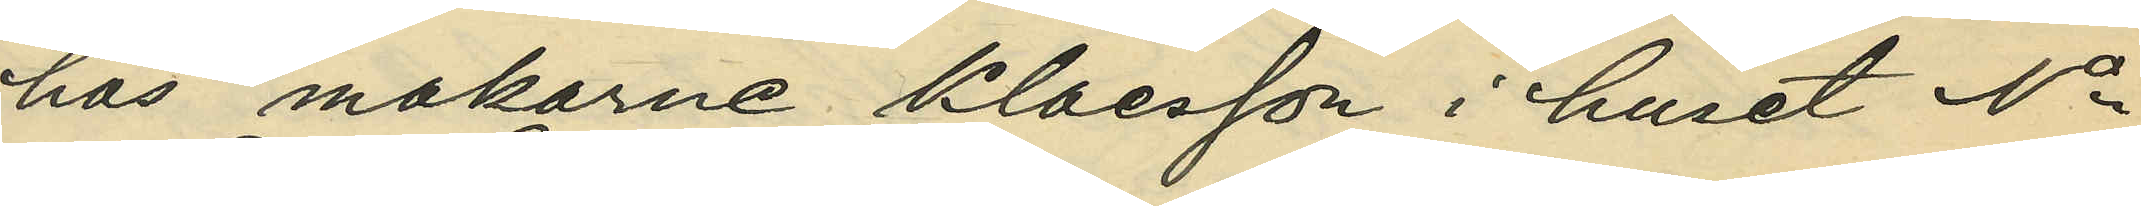hos makarne Klaesson i huset No
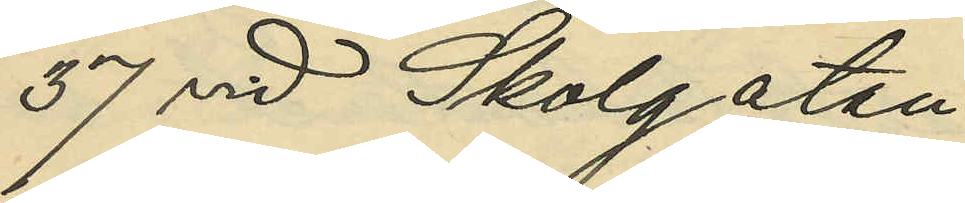37 vid Skolgatan;
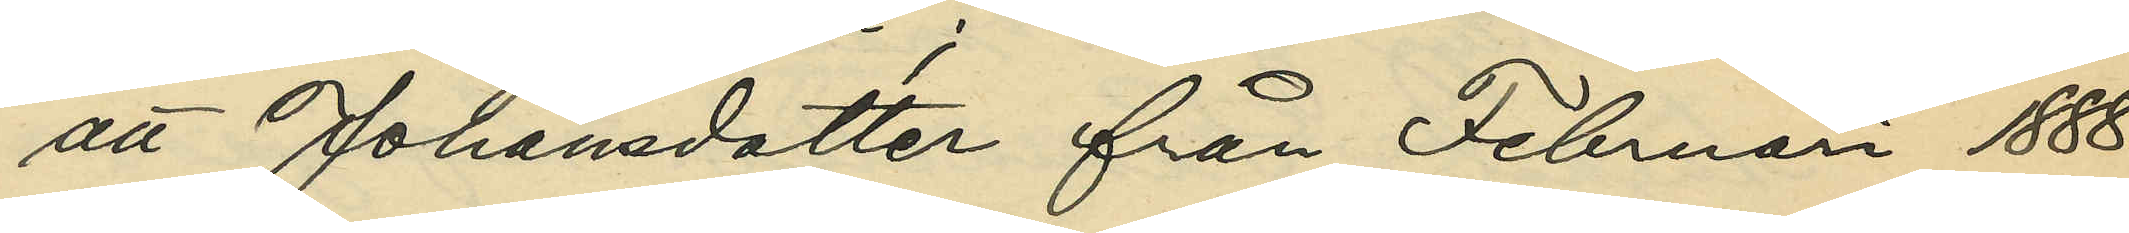att Johansdotter från Februari 1888
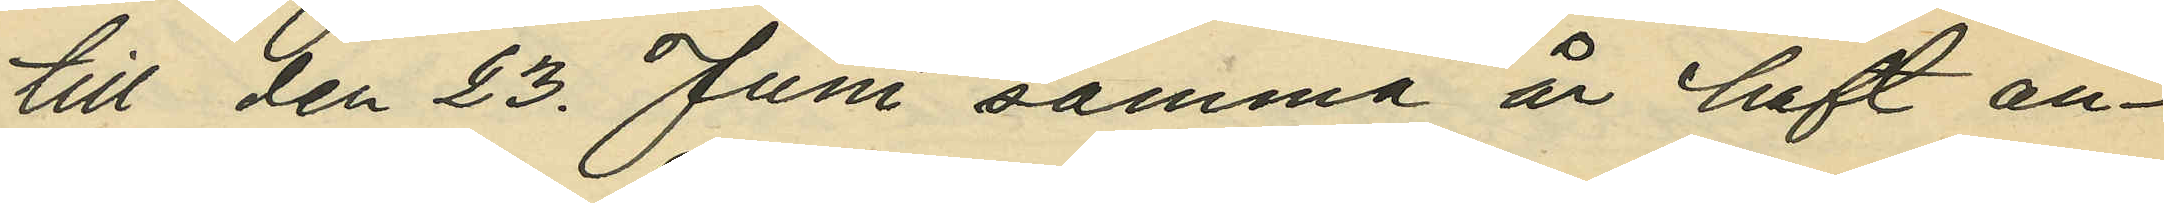till den 23. Juni samma år haft an¬
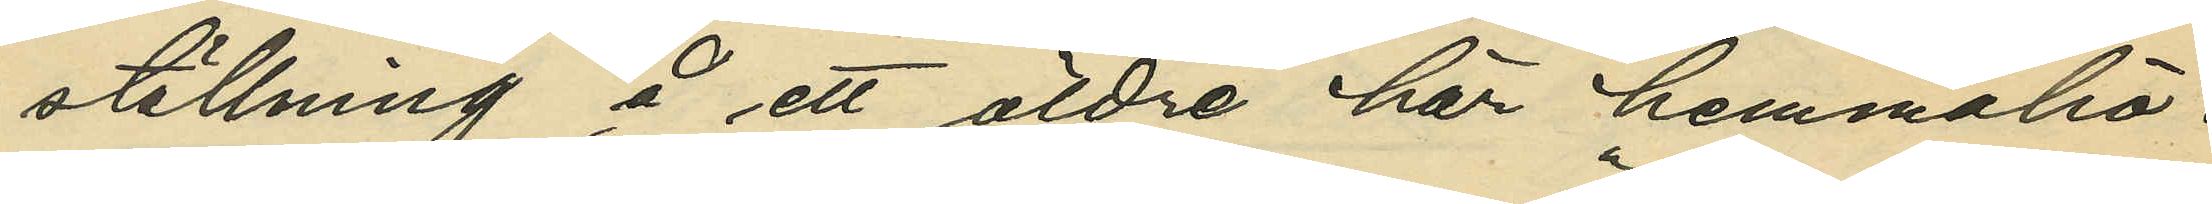ställning å ett äldre här hemmahö¬
